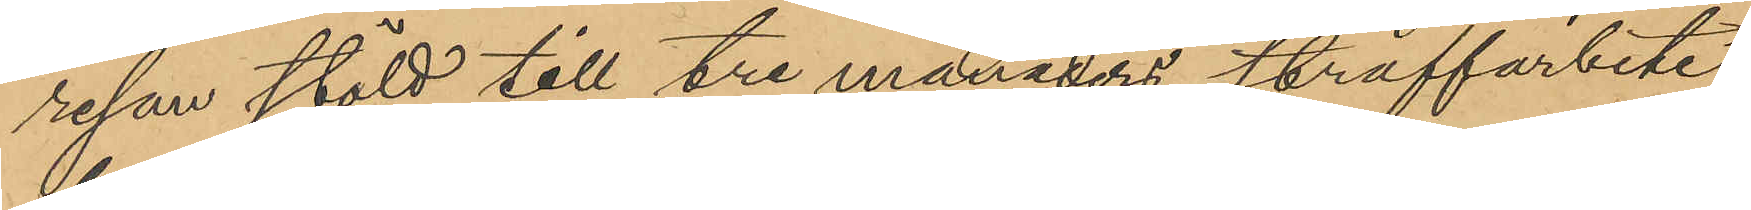resan stöld till tre månaders straffarbete;
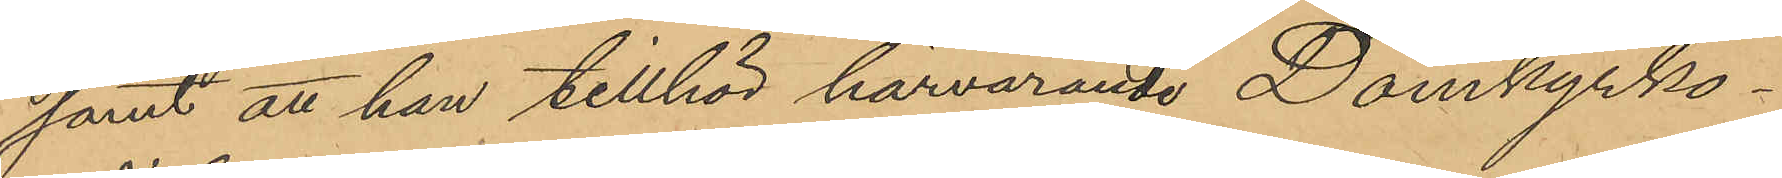samt att han tillhör härvarande Domkyrko¬
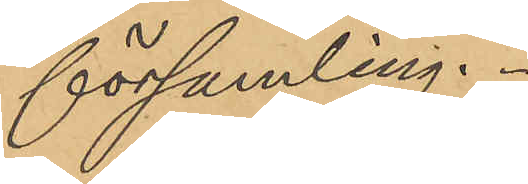församling.
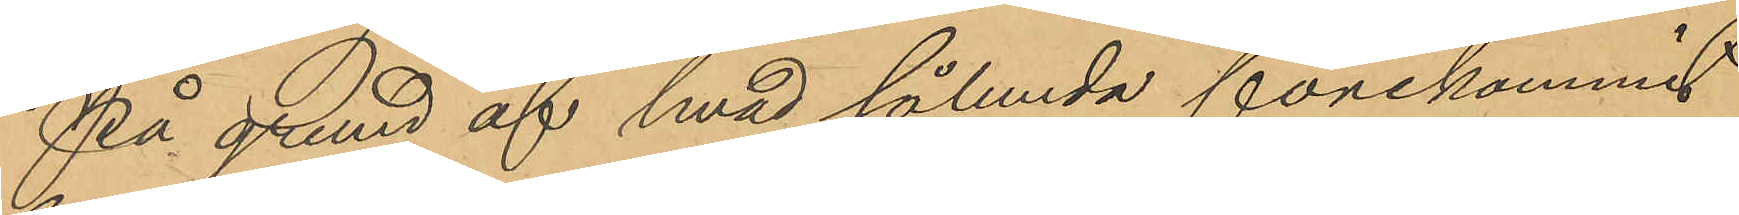På grund af hvad sålunda förekommit
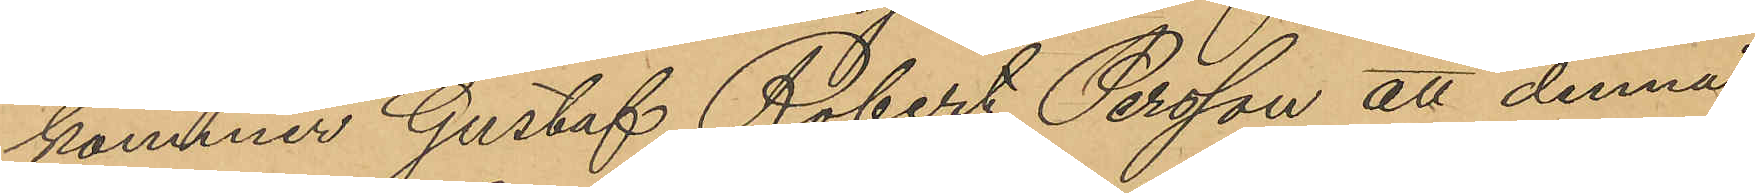kommer Gustaf Robert Persson att denna
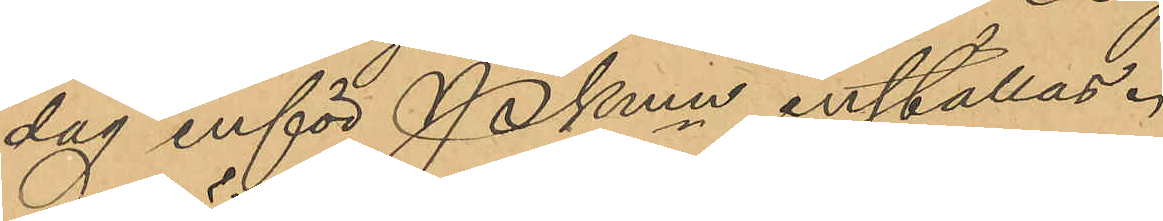dag inför PKmn inställas.
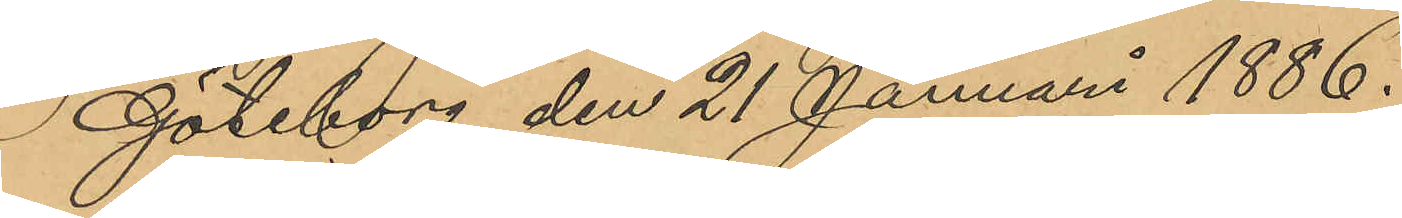Göteborg den 21 Januari 1886.
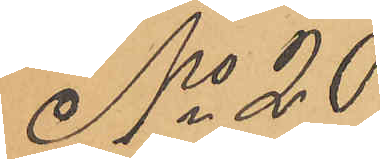No 20
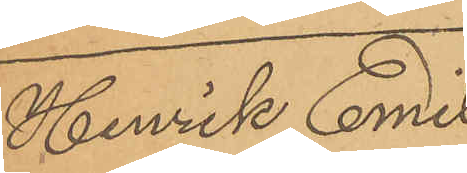Henrik Emil
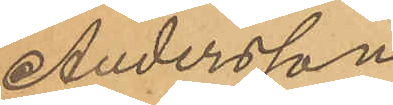Andersson
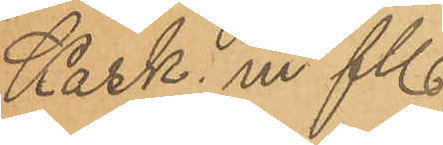Kask. m fl.
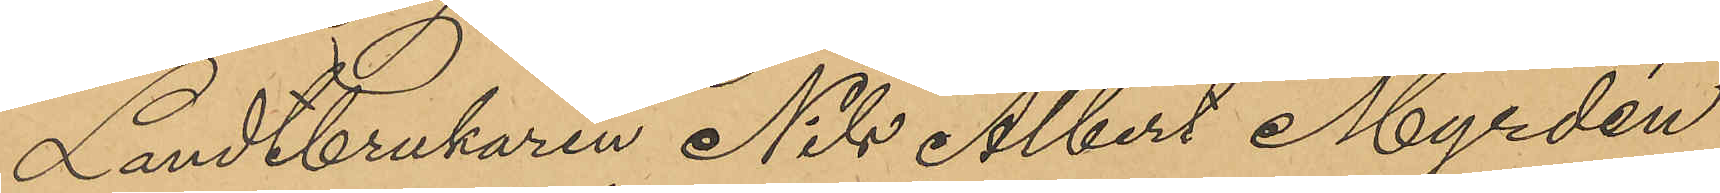Landtbrukaren Nils Albert Myrdén
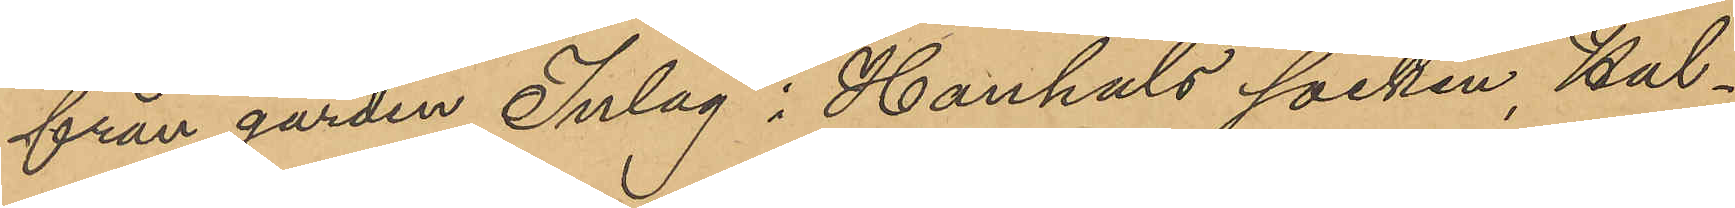från gården Inlag i Hanhals socken, Hal¬
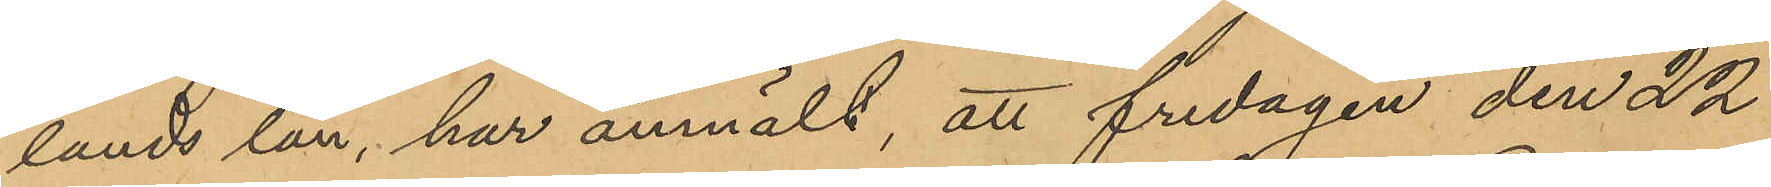lands län, har anmält, att fredagen den 22
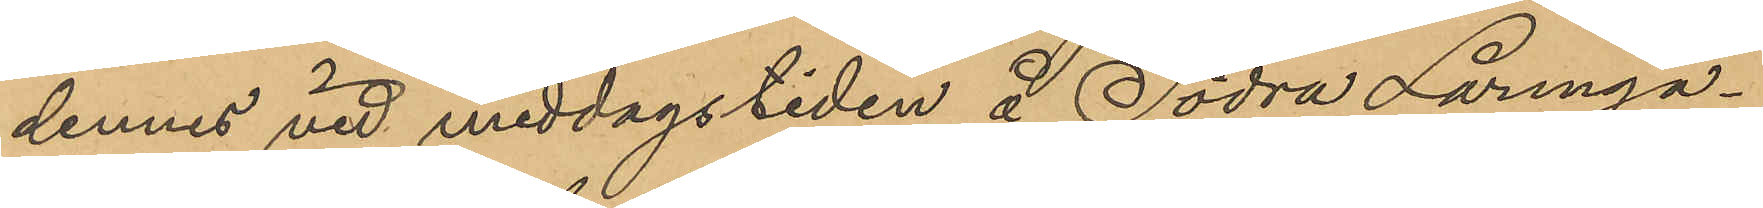dennes vid middagstiden å Södra Larmga¬
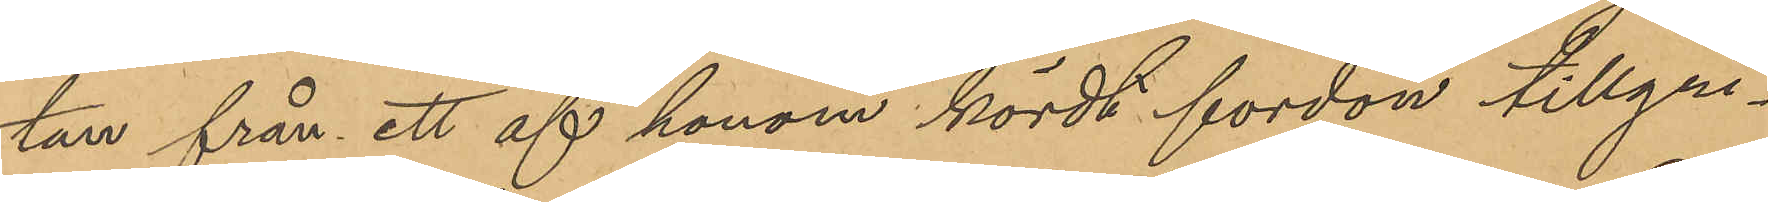tan från ett af honom kördt fordon tillgri¬
